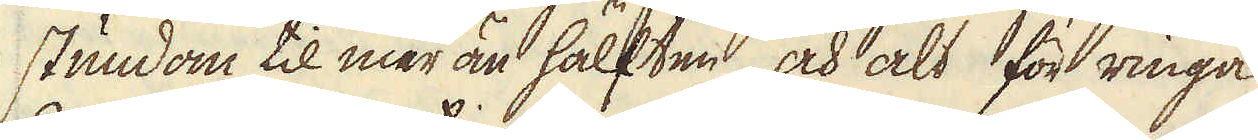stundom til mer än hälften, och alt för ringa
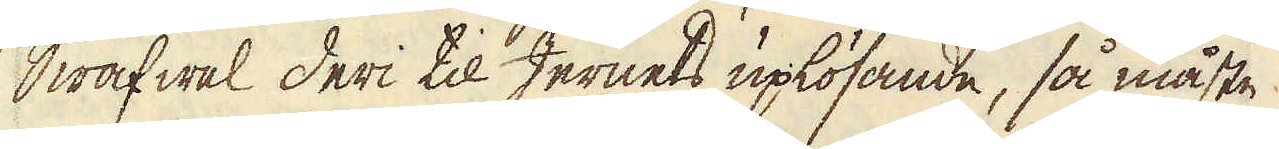Swafwel deri til Jernets uplösande, så måste
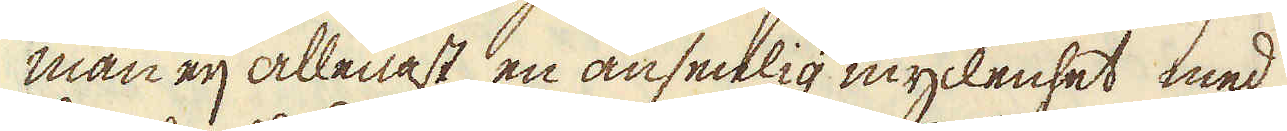man eij allenast en ansenlig myckenhet med
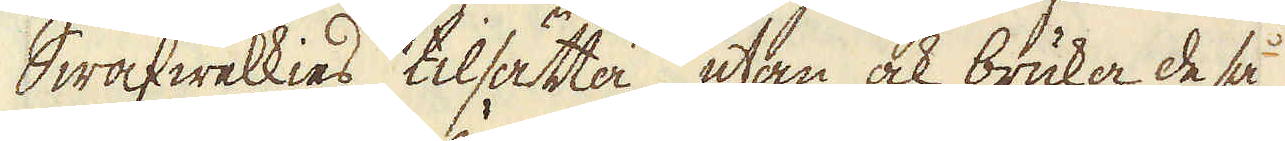Swafwelkies tilsätta, utan ock bruka de så
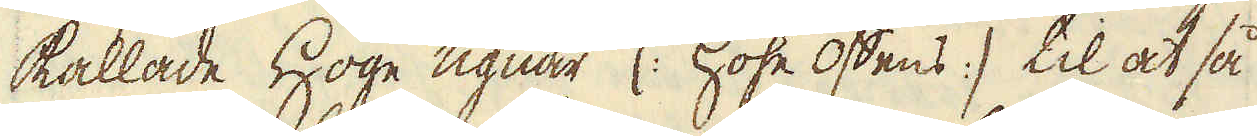kallade Höge ugnar (: Hohe Öffens :) til at så
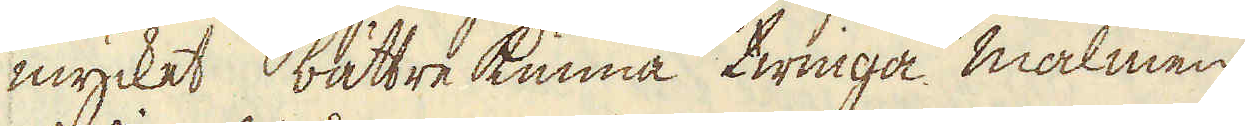mycket bättre kunna twinga malmen
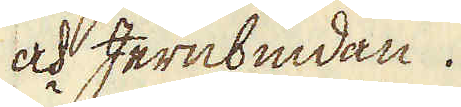och Jernbindan.
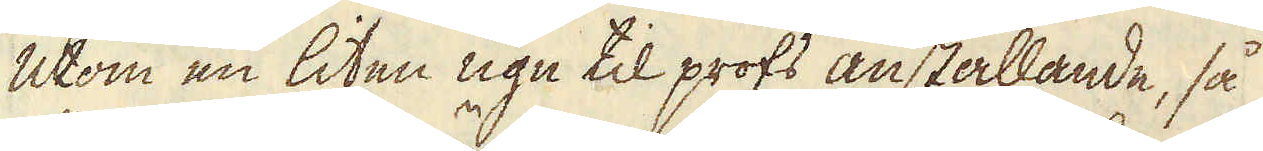Utom en liten ugn til profs anställande, så
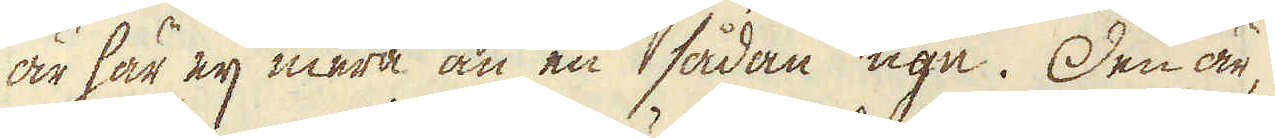är här eij mera än en sådan ugn. Den är,
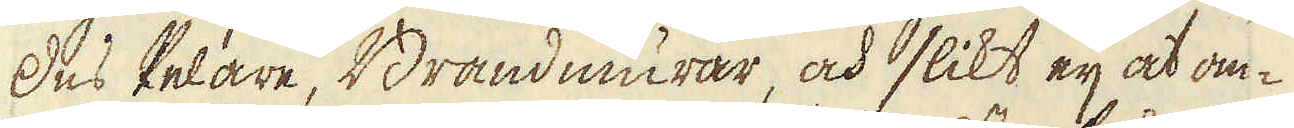des Pelare, Brändmurar, och slikt eij at om-
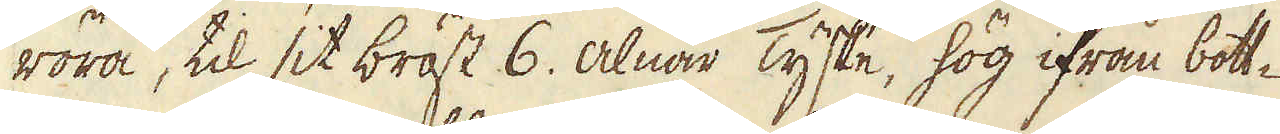röra, til sit bröst 6. alnar Tyske, hög ifrån bott-
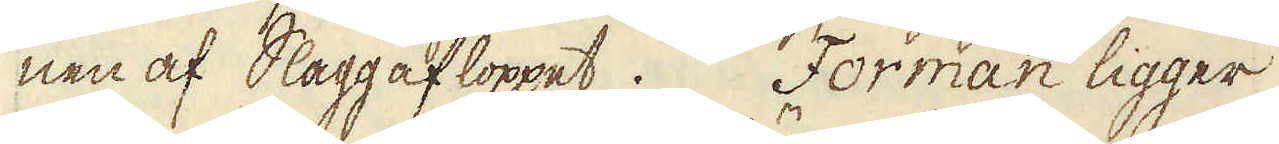nen af Slaggafloppet. Forman ligger,
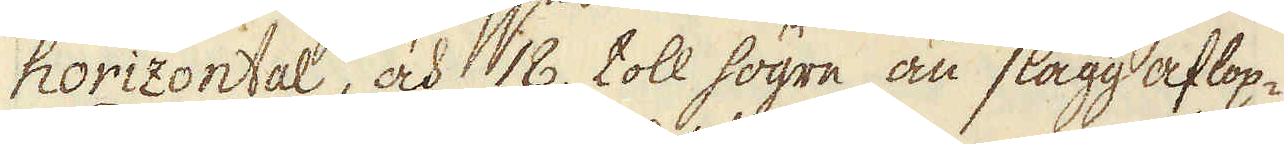horizontal, och 18. toll högre än slagg aflop-
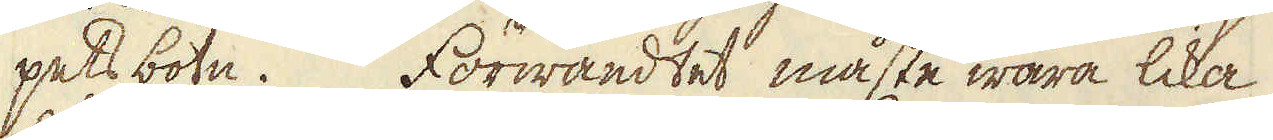pets botn. Förwandtet måste wara lika
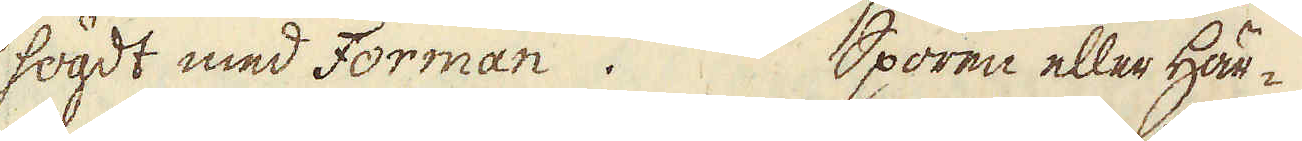högdt med Forman. Sporen eller Här-
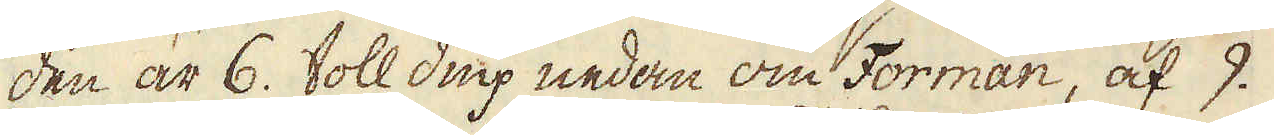den är 6. toll diup nedan om Forman, af 9.
